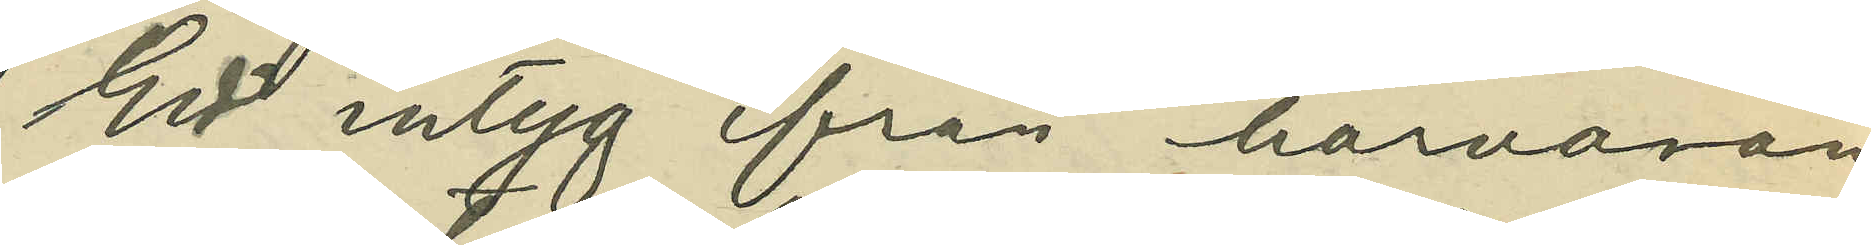Ett intyg från härvaran¬
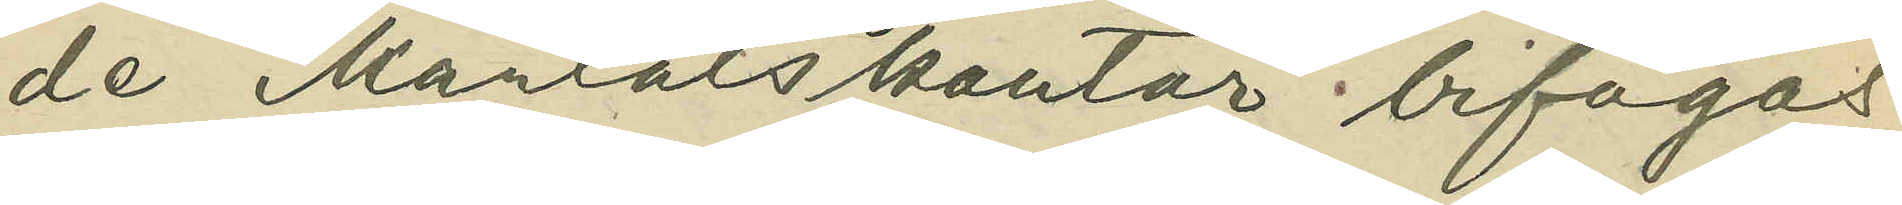de Mantalskontor bifogas
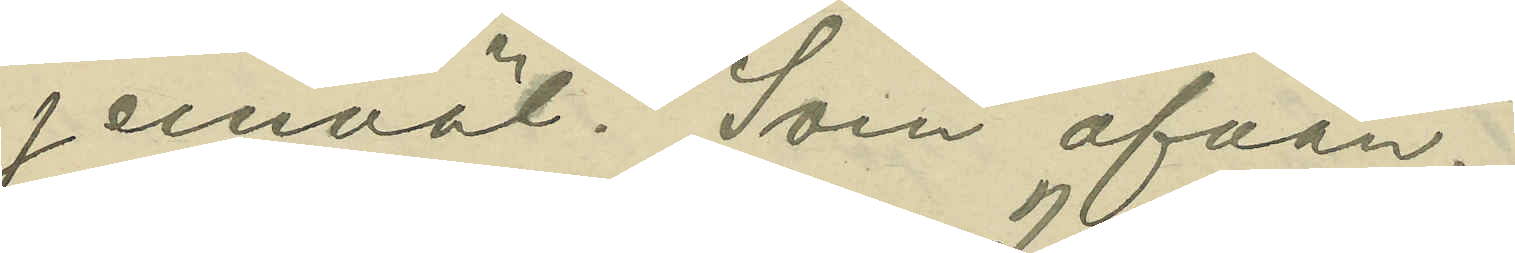jemväl. Som ofvan.
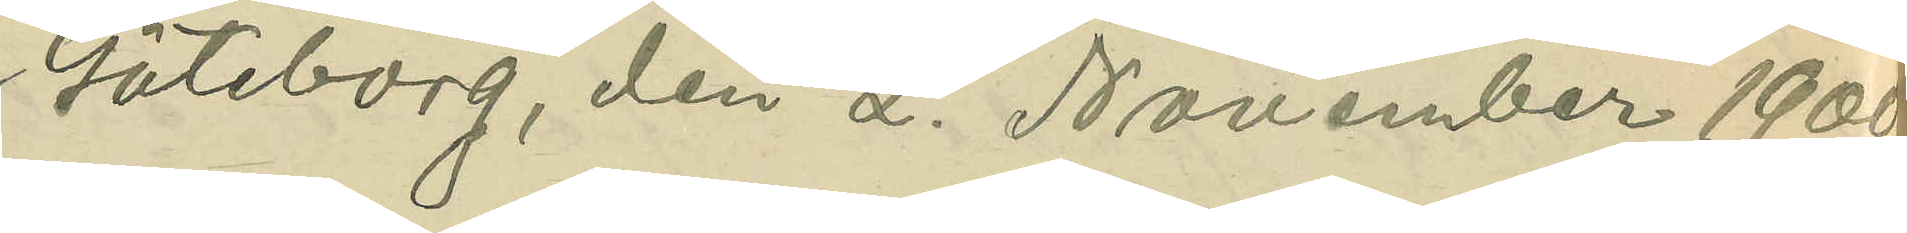Göteborg, den 2. November 1900
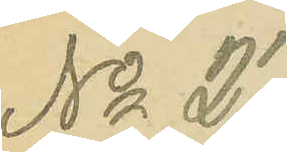No 27.
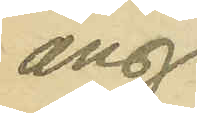ang.
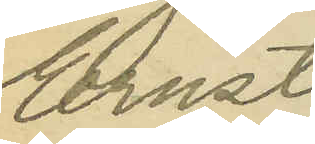Ernst
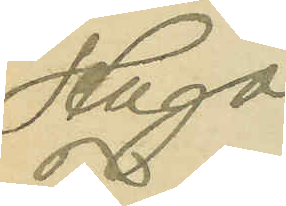Hugo
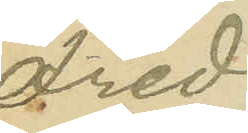Fred¬
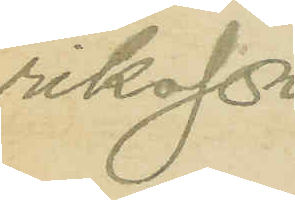riksson.
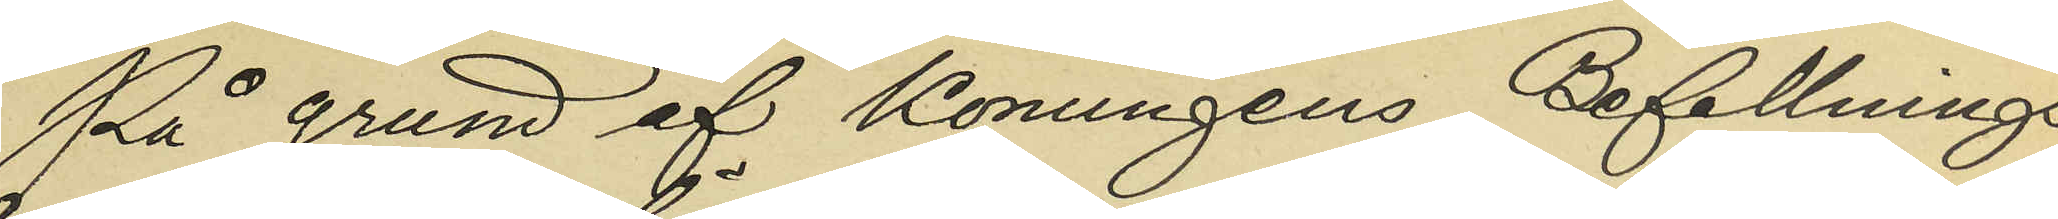På grund af Konungens Befallnings¬
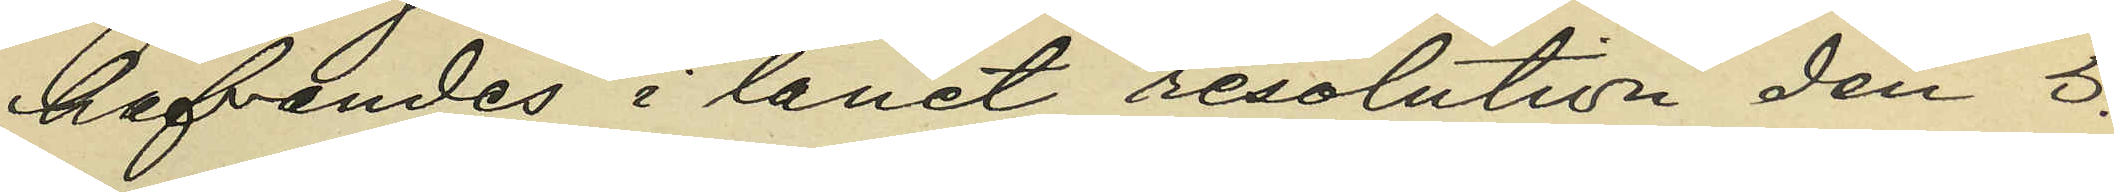hafvandes i länet resolution den 5.
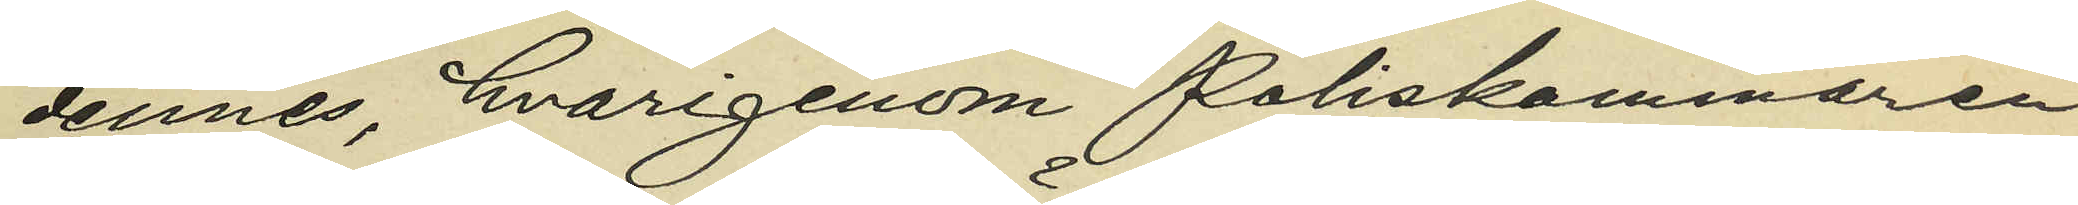dennes, hvarigenom Poliskammaren
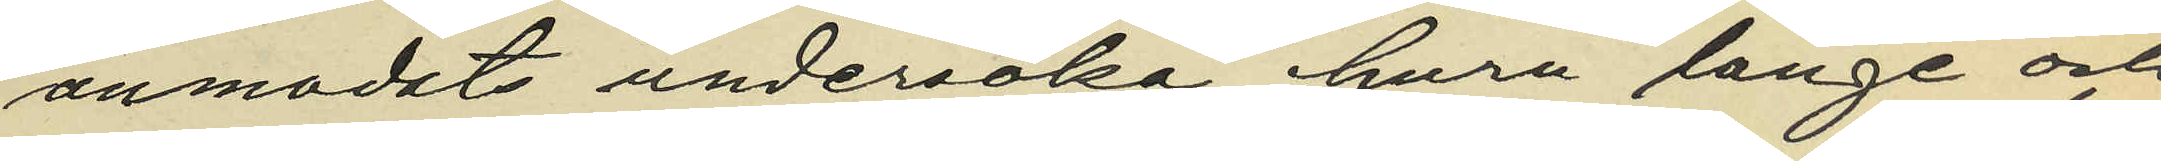anmodats undersöka huru länge och
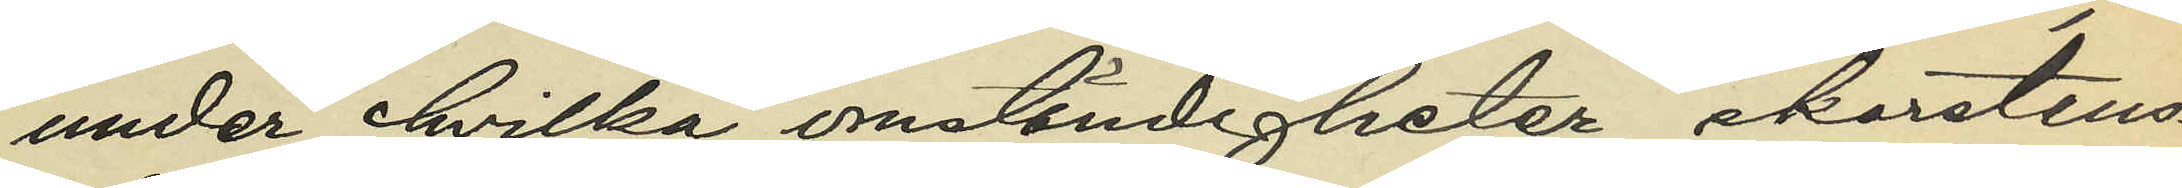under hvilka omständigheter skorstens¬
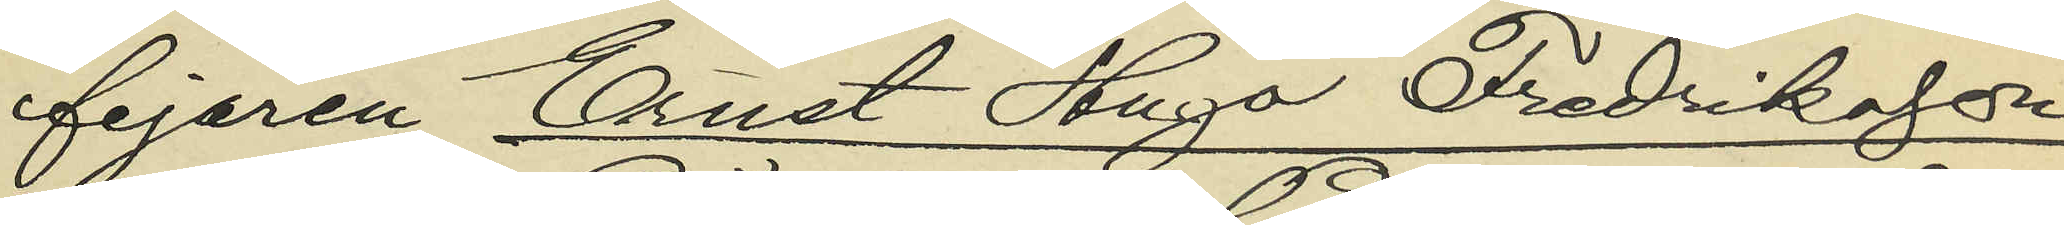fejaren Ernst Hugo Fredriksson
